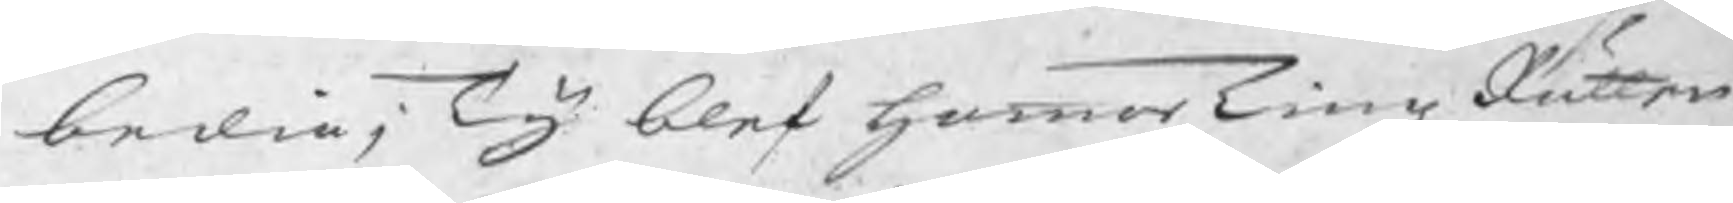bedia; Ty blef hammarTingzRätten
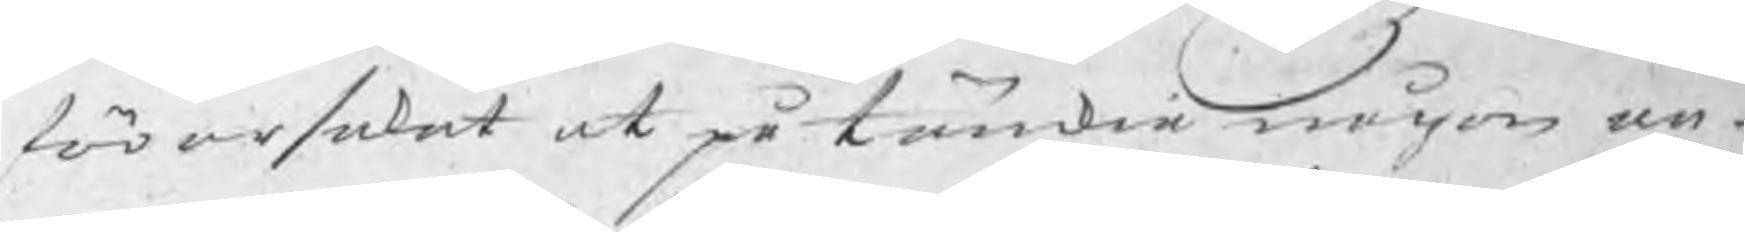förorsakat at påtänkia någon an¬
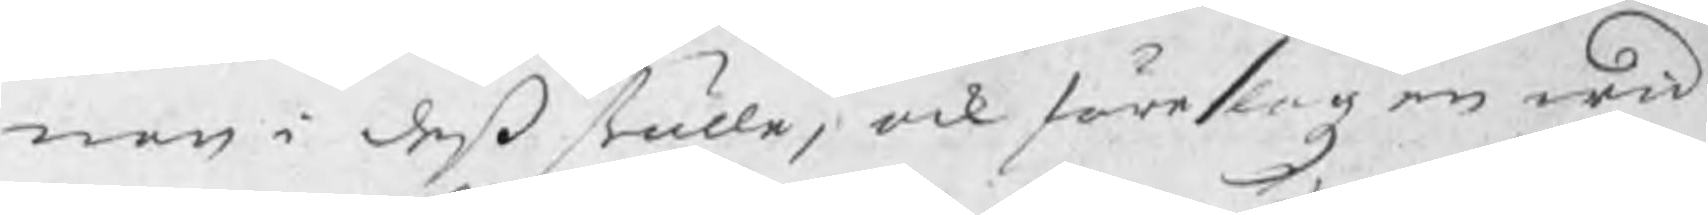nan i deß ställe, och föreslogz en wid
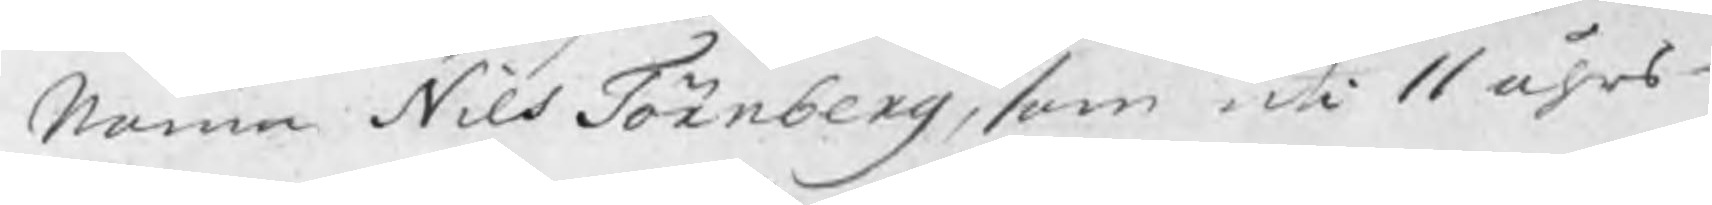namn Nils Törnberg, som uti 11 åhrs
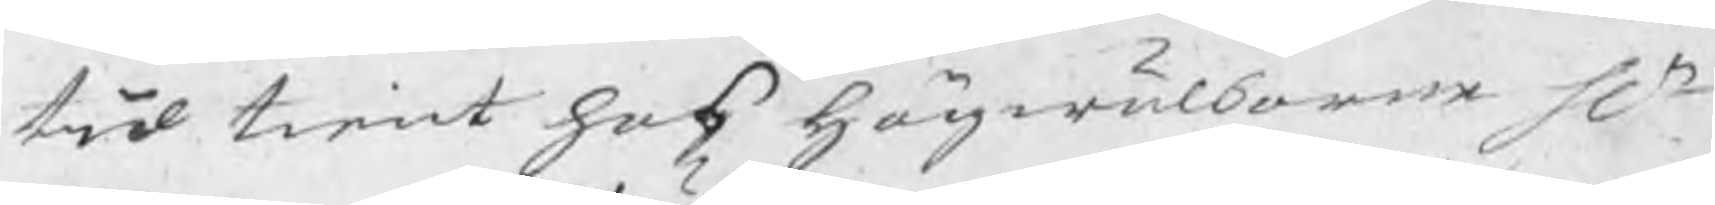tid tient hos högwälborne Hr
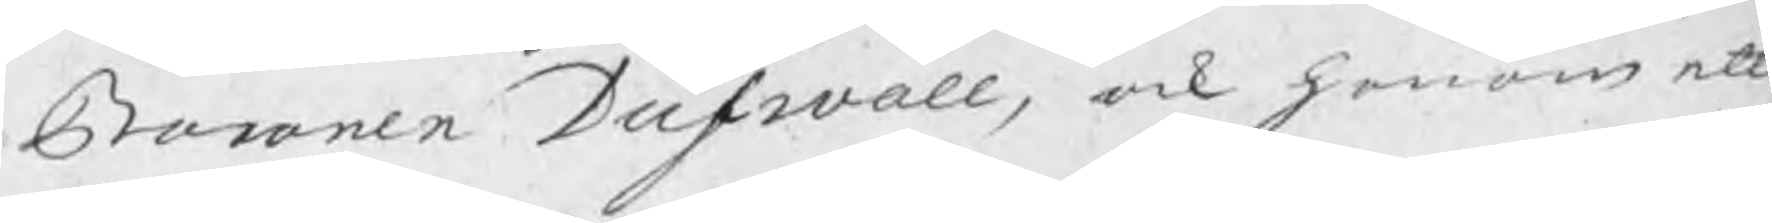Baronen Dufwall, ock honom ett
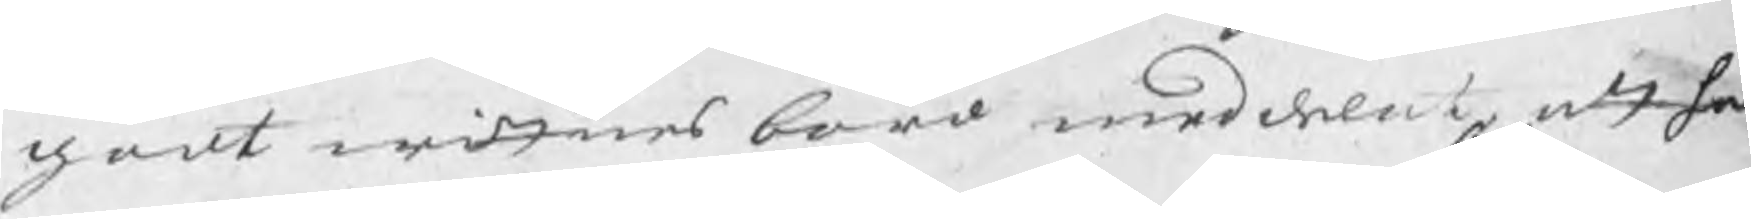godt wittnesbörd meddelat att han
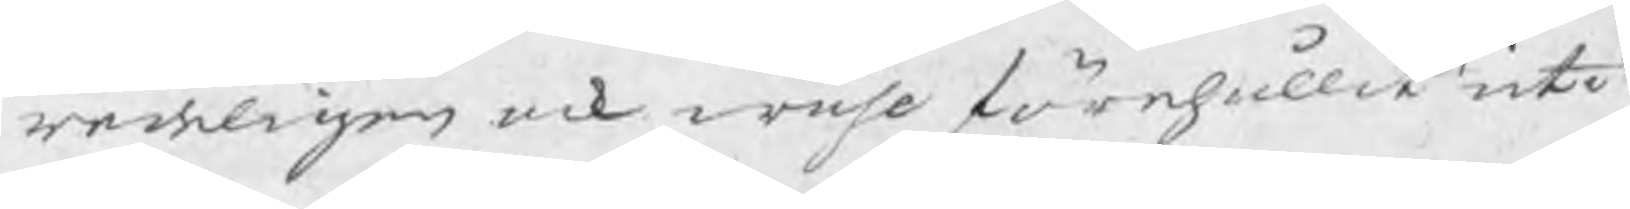redeligen ock wähl förehållit uti
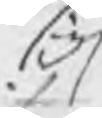sig
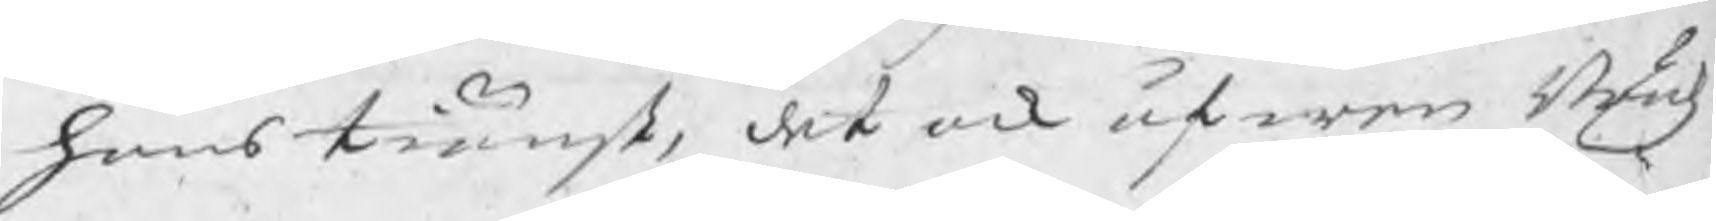hans tiänst, det ock äfwen Brukz¬
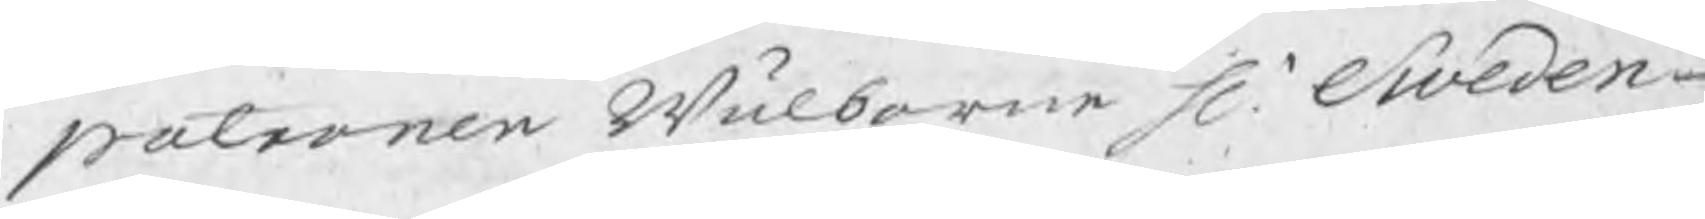patronen Wälborne Hr Sweden¬
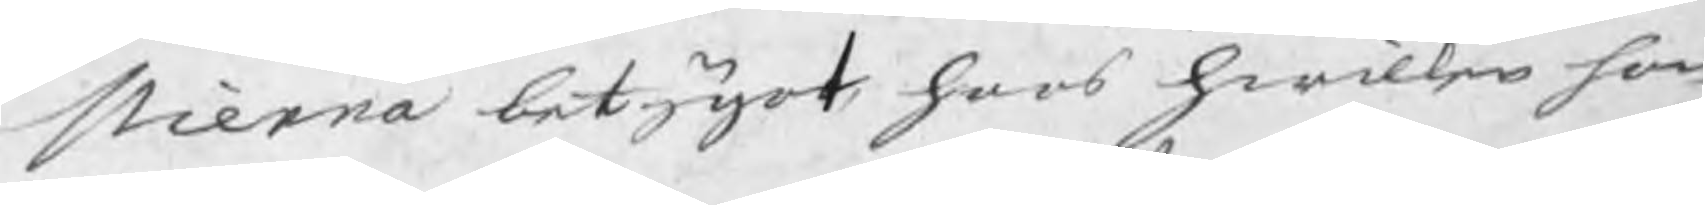stierna betygat hoos hwilken han
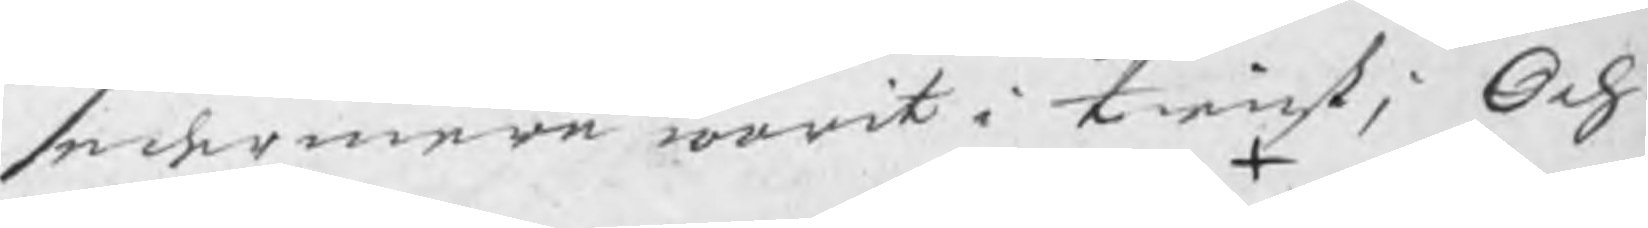sedermera warit i tienst; Och
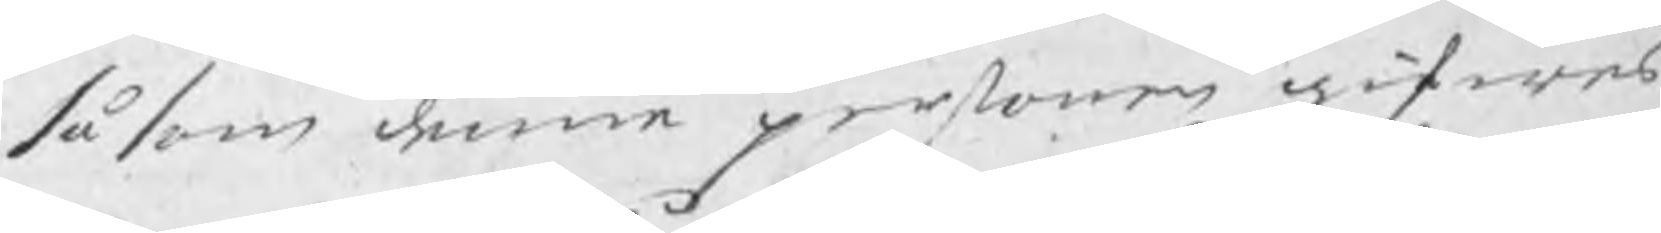såsom denne personen gifwes
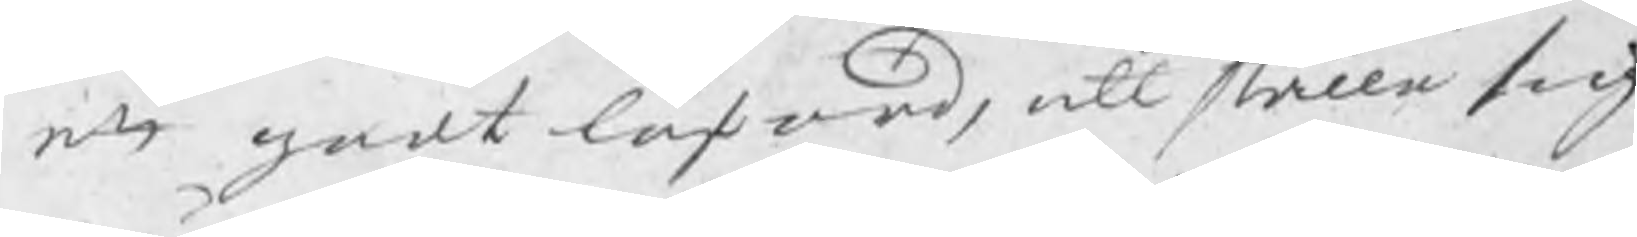ett godt låford, att ställa sig
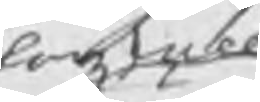han skall
